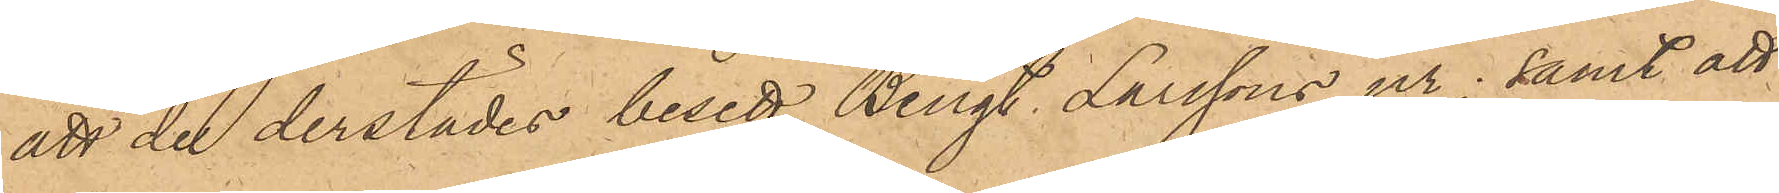att de derstädes besett Bengt Larssons ur; samt att
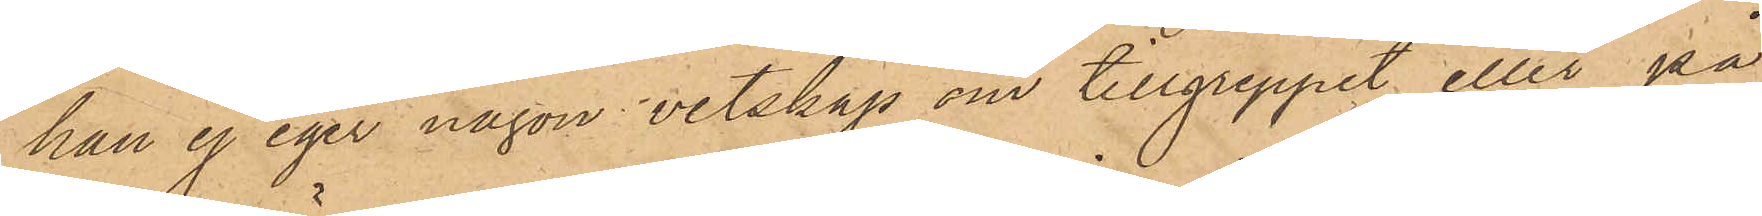han ej eger någon vetskap om tillgreppet eller på
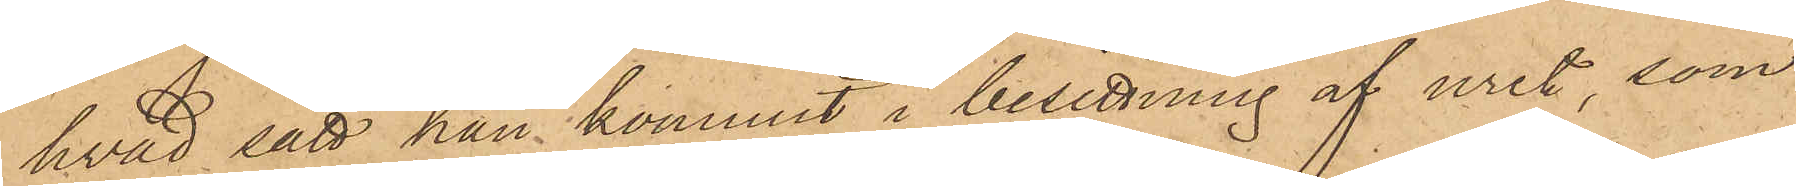hvad sätt han kommit i besittning af uret, som
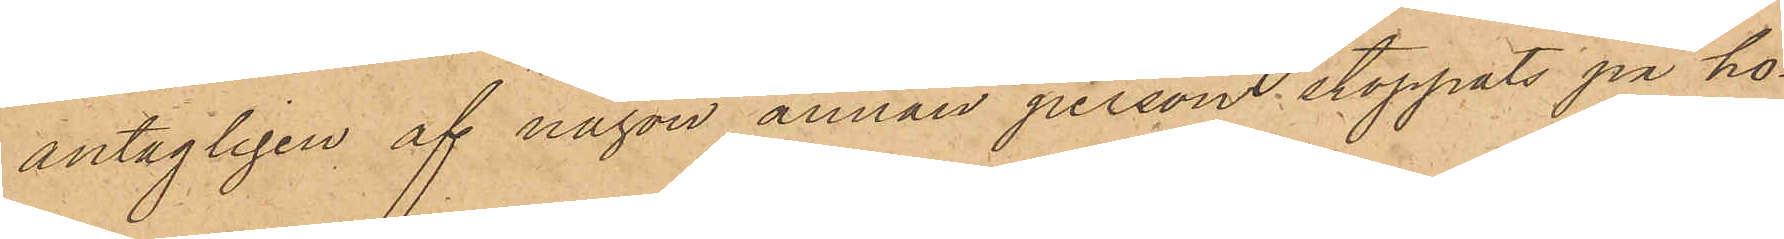antagligen af någon annan person stoppats på ho¬
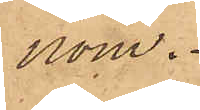nom.
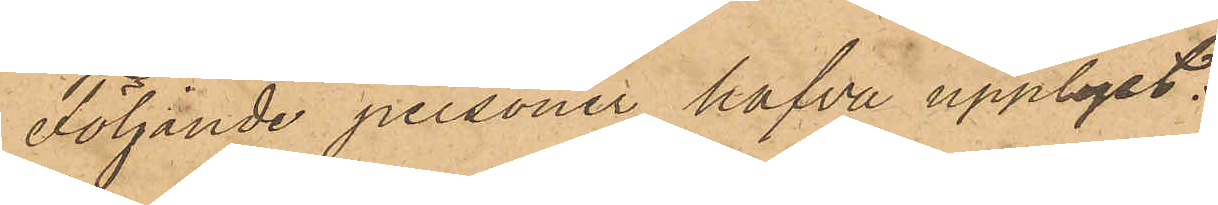Följande personer hafva upplyst:
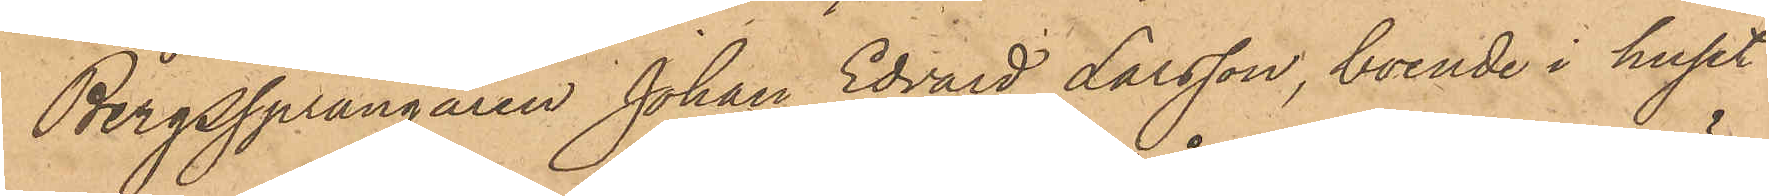Bergssprängaren Johan Edvard Larsson, boende i huset
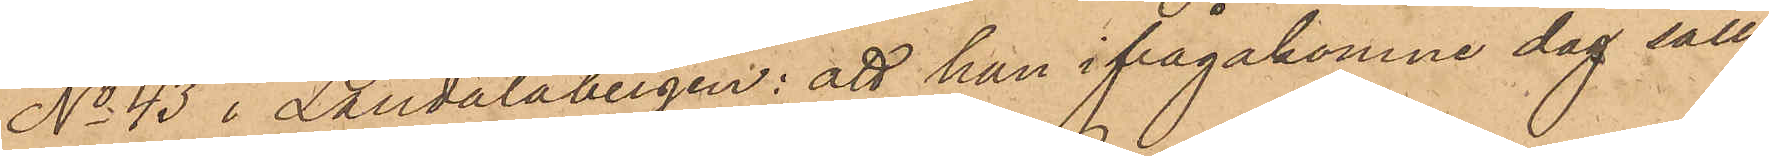No 43 i Landalabergen: att han ifrågakomne dag säll¬
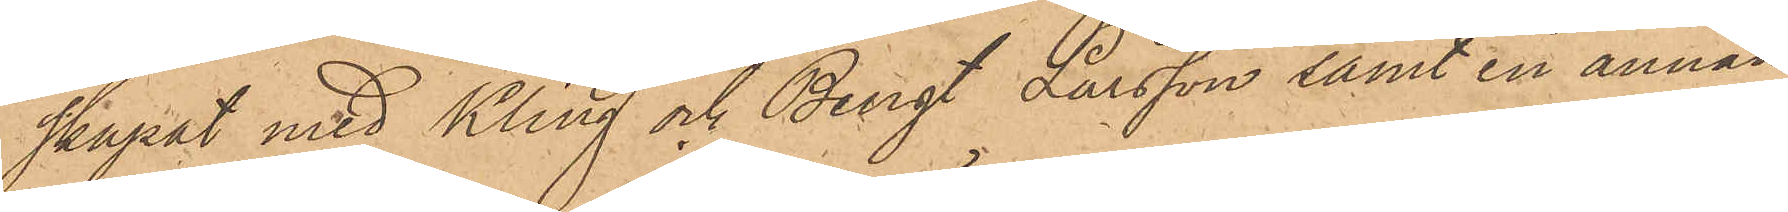skapat med Kling och Bengt Larsson samt en annan
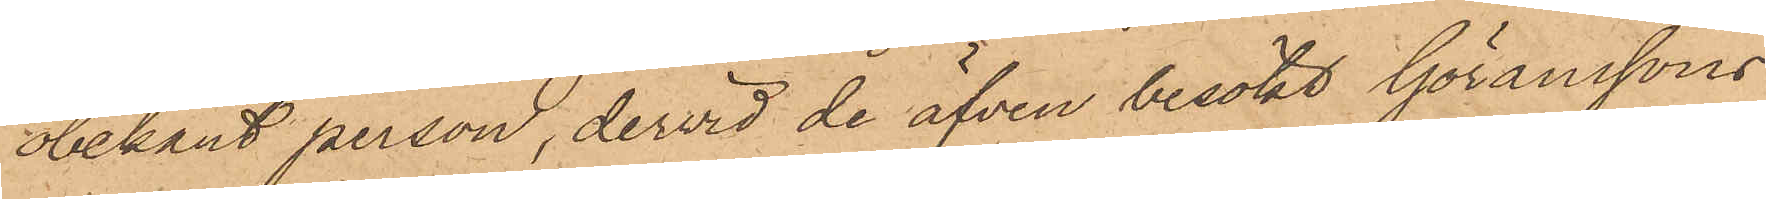obekant person, dervid de äfven besökt Göranssons
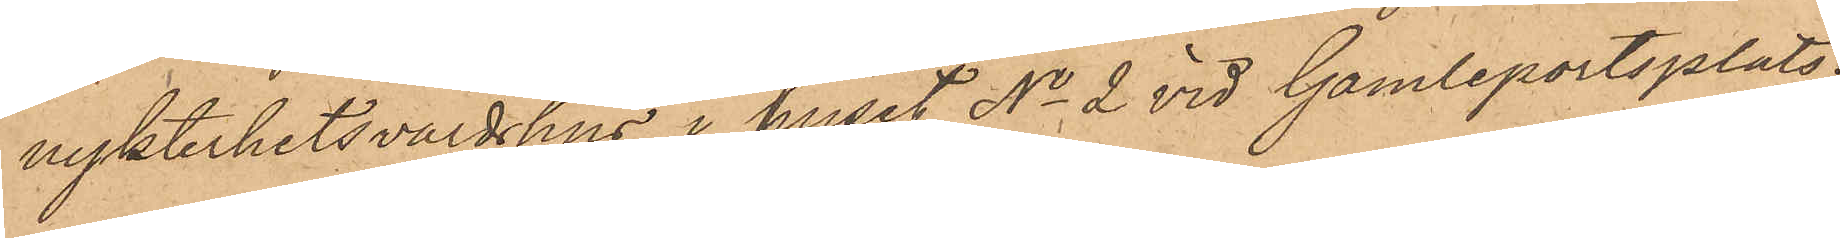nykterhetsvärdshus i huset No 2 vid Gamleportsplats;
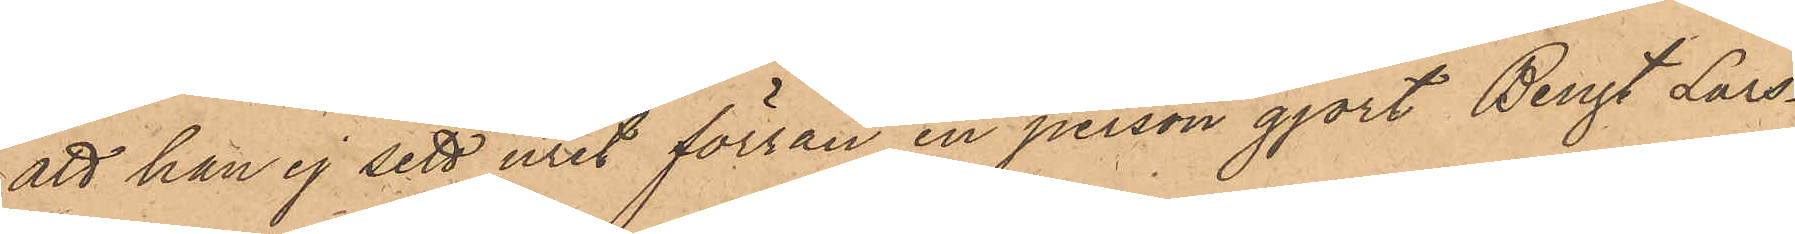att han ej sett uret förrän en person gjort Bengt Lars¬
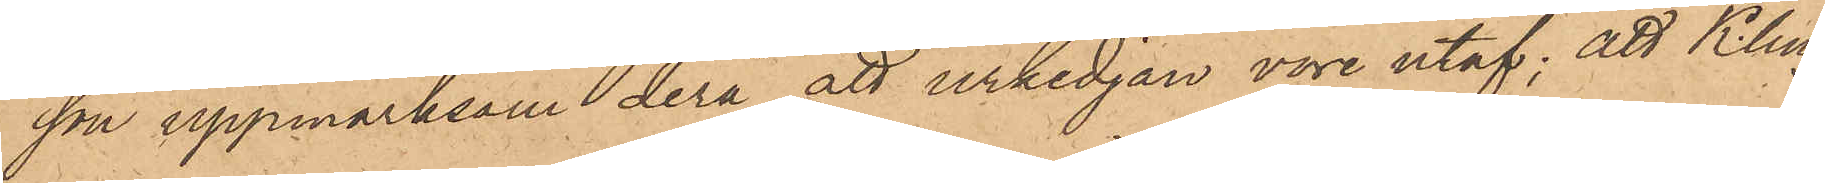son uppmärksam derå, att urkedjan vore utaf; att Kling
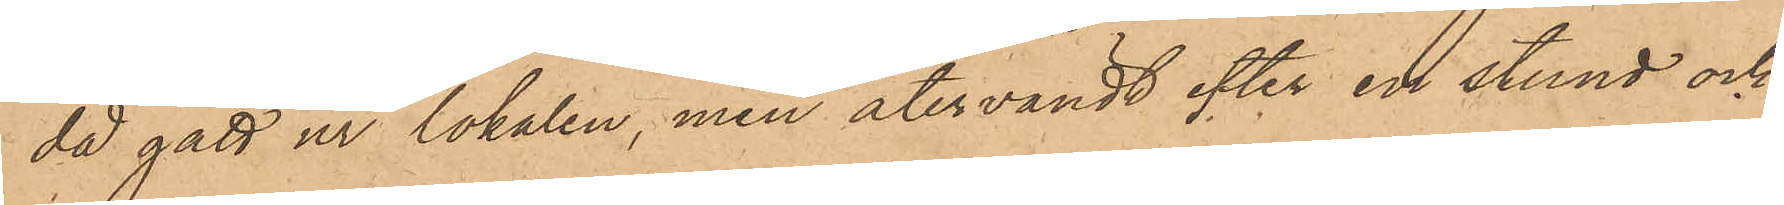då gått ur lokalen, men återvändt efter en stund och
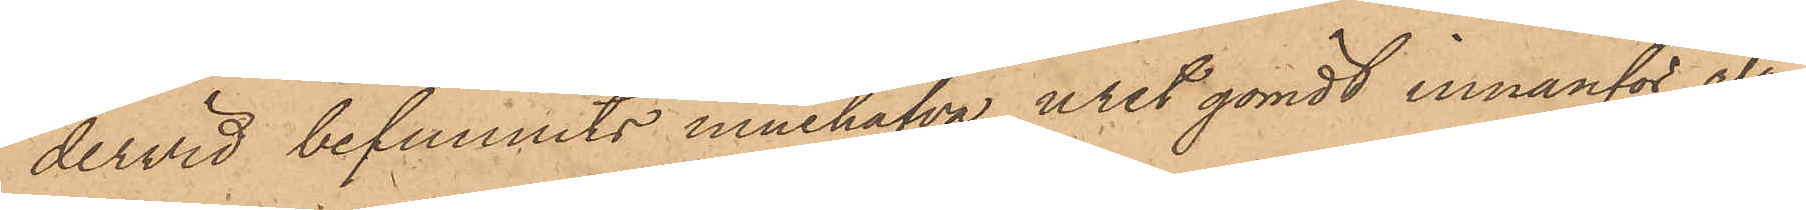dervid befunnits innehafva uret gömdt innanför vä¬
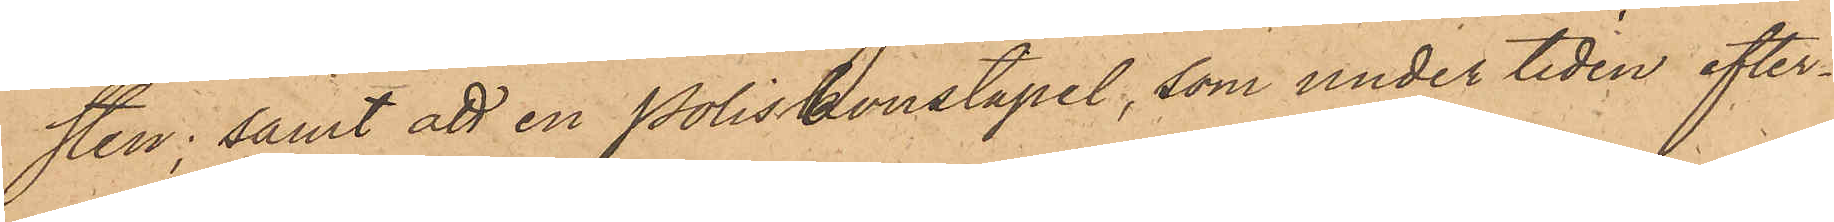sten; samt att en Poliskonstapel, som under tiden efter¬
